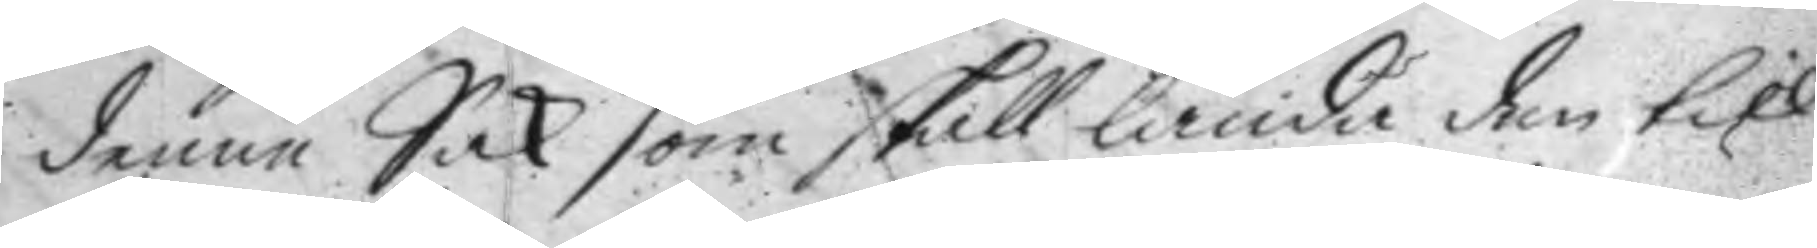denne Sak som skall lända dem till
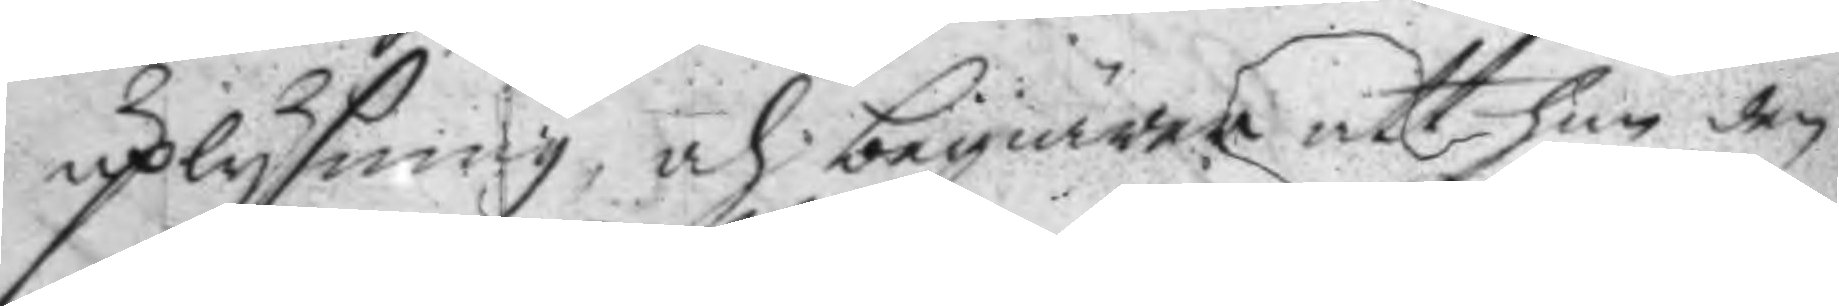uplysning och begiärer att han den
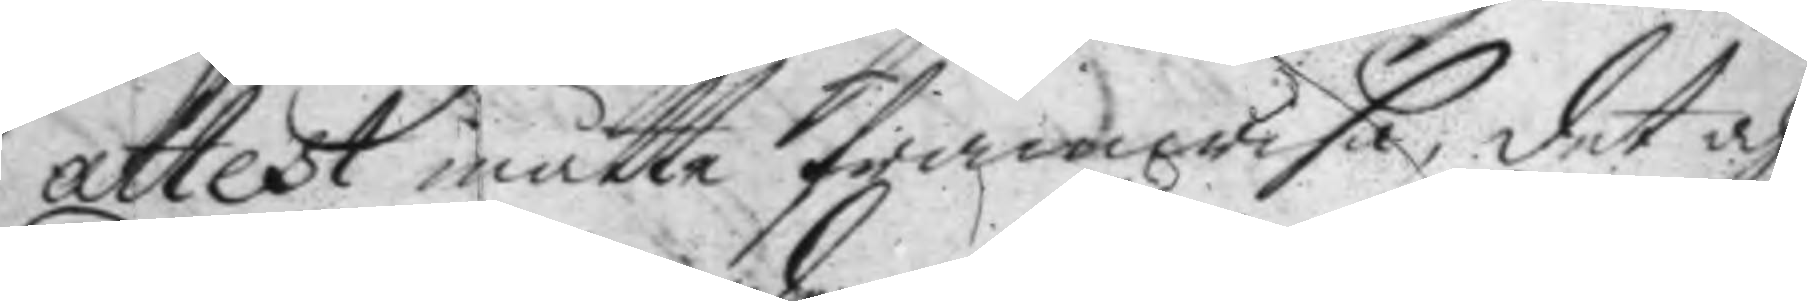attest måtte framwisa, det och
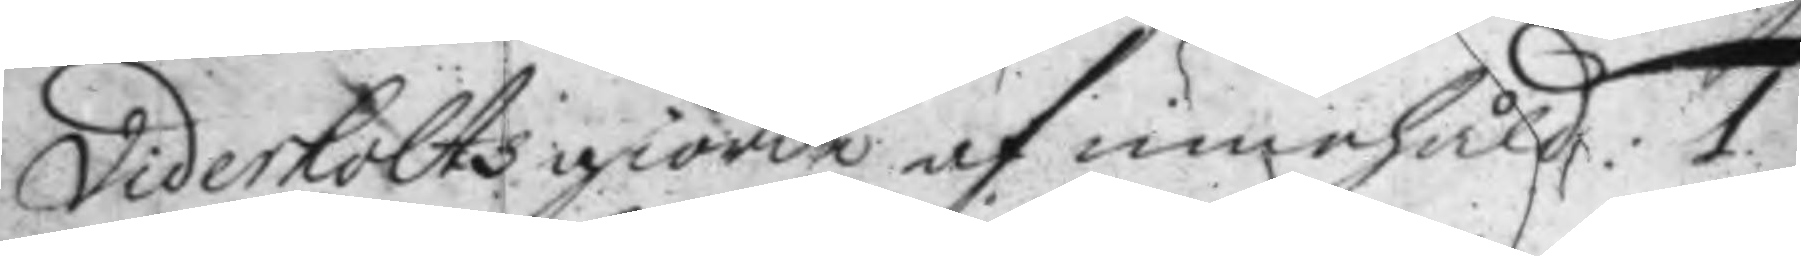Viderholts giorde af innehåld: 1.
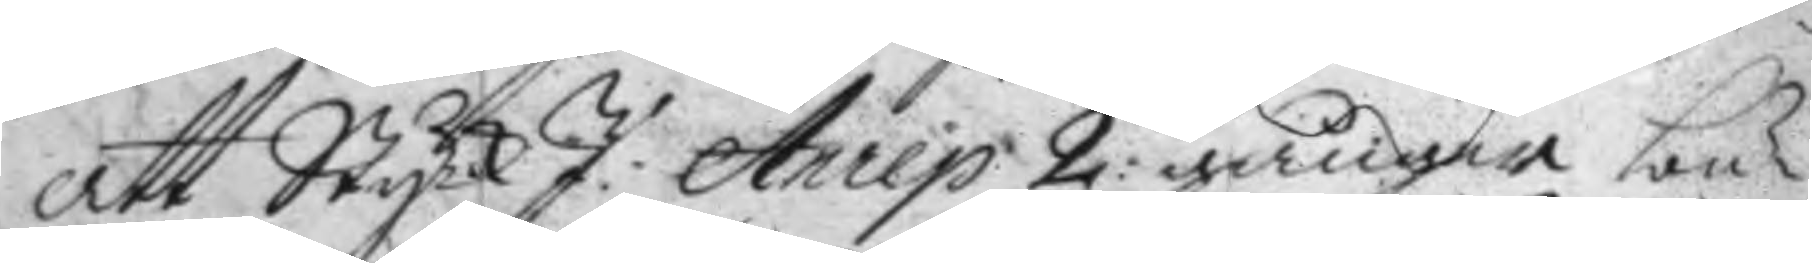att StyckJ: Anrep 2: gånger bu¬
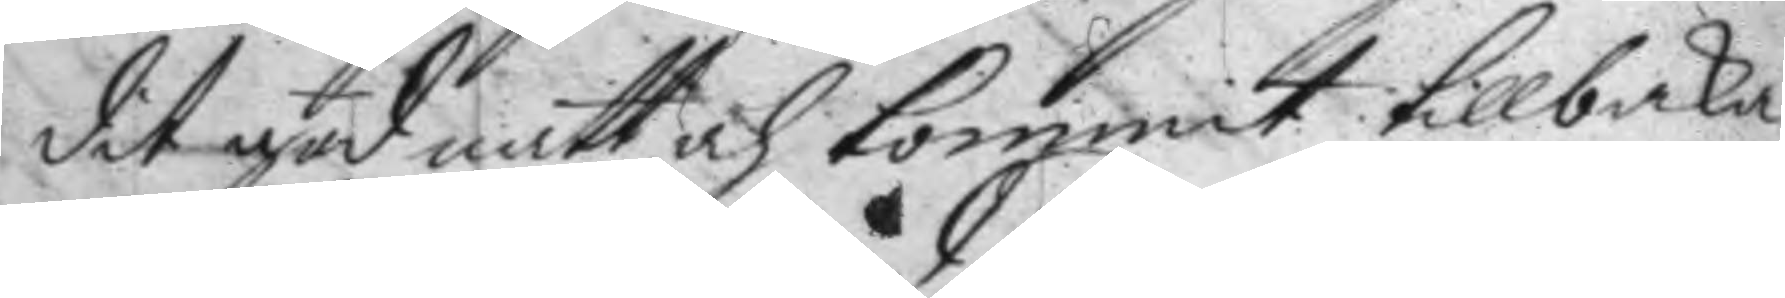dit god natt och kommit tillbaka
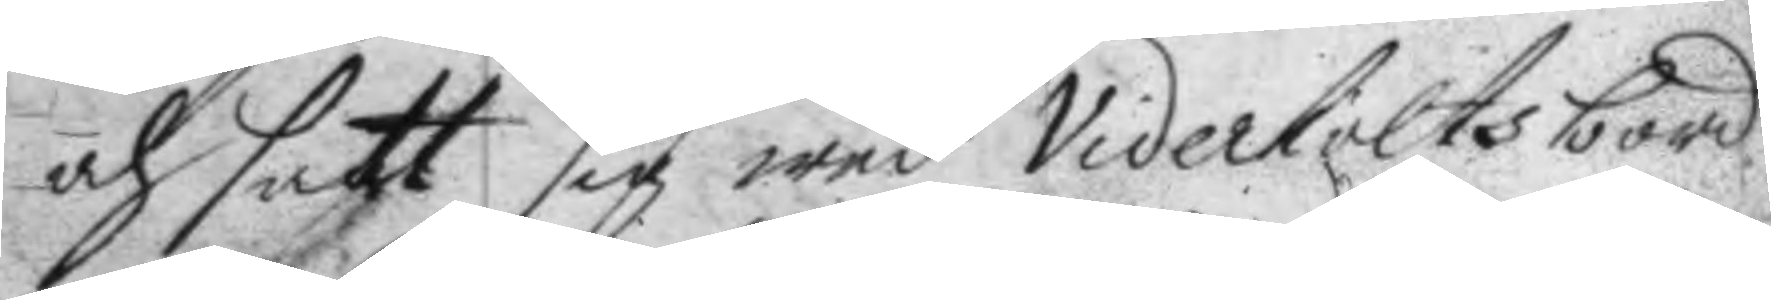och satt sig wed Viderholts bord
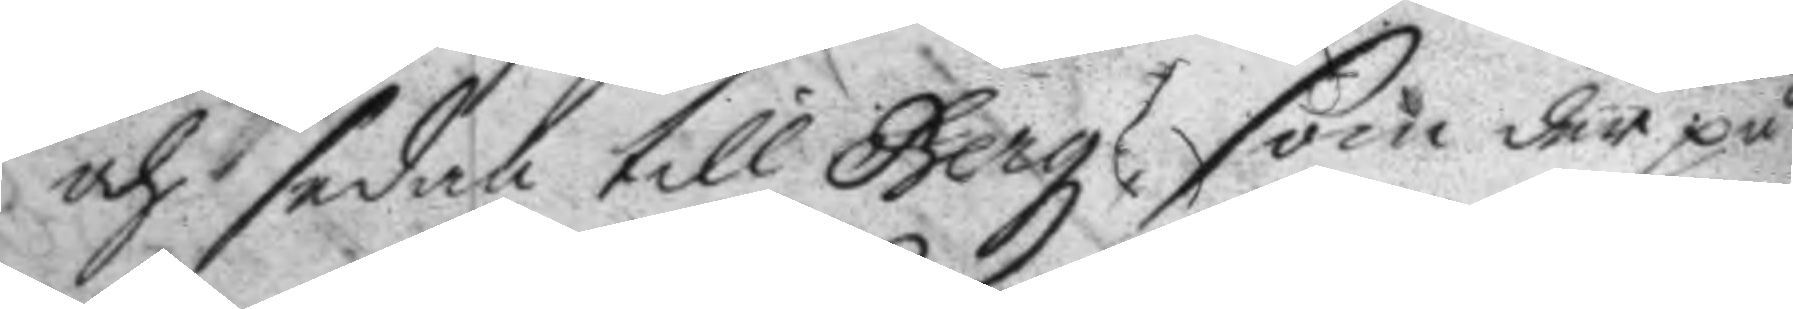och sedan till Berg, som der på
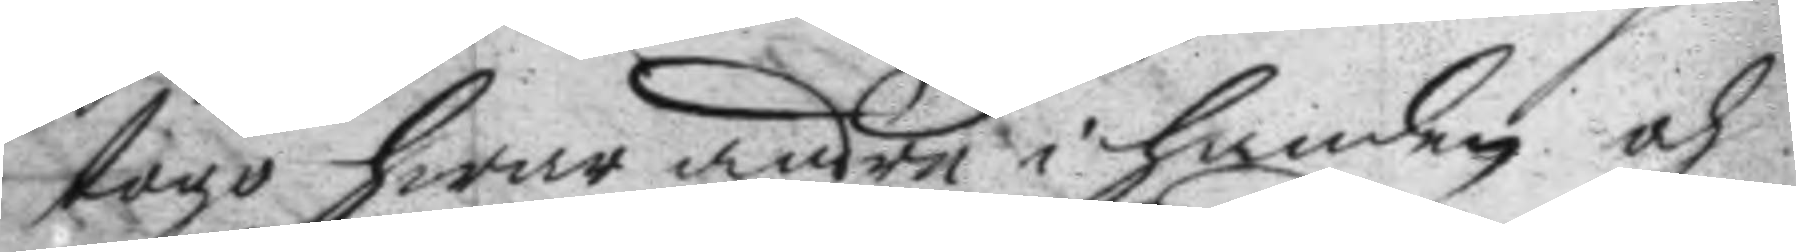togo hwar andre i handen och
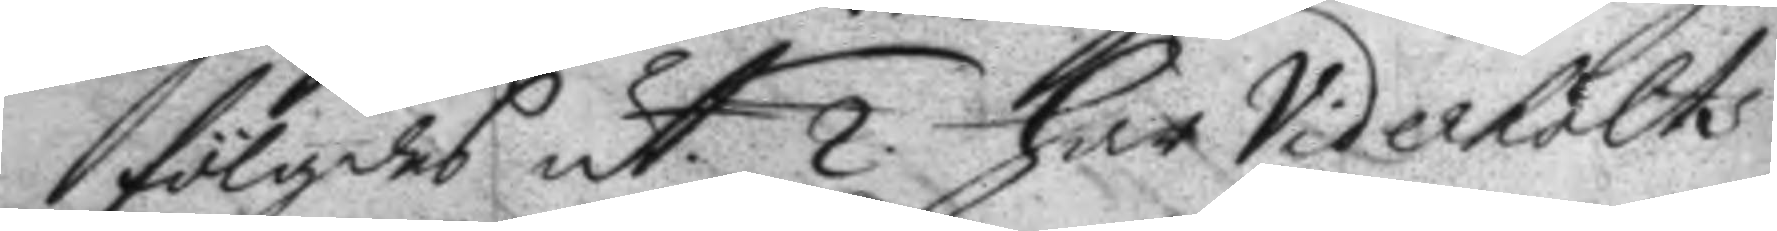fölgdes ut. 2. har Viderholts
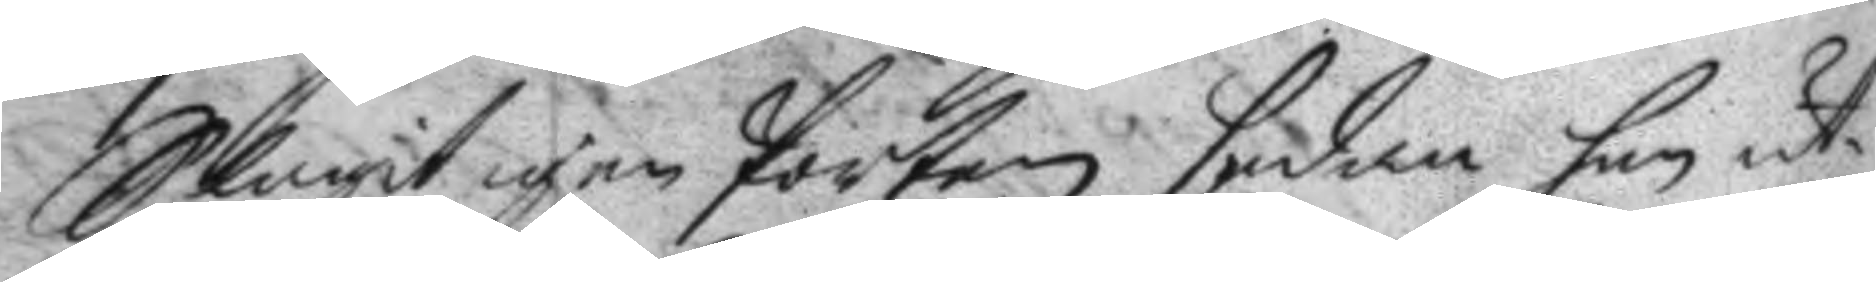Slagit igen Porten sedan han ut¬
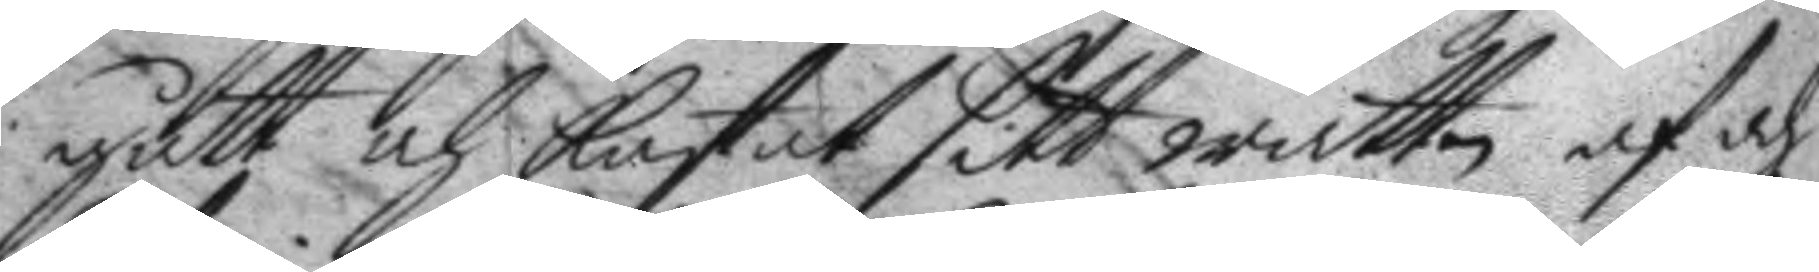gått och kastat sitt wattn af och
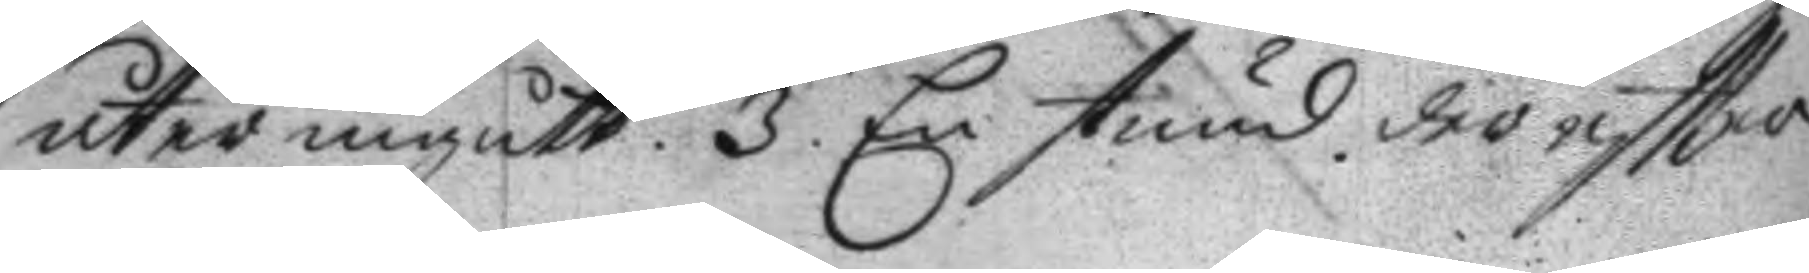åter ingått. 3. En stund dereftter
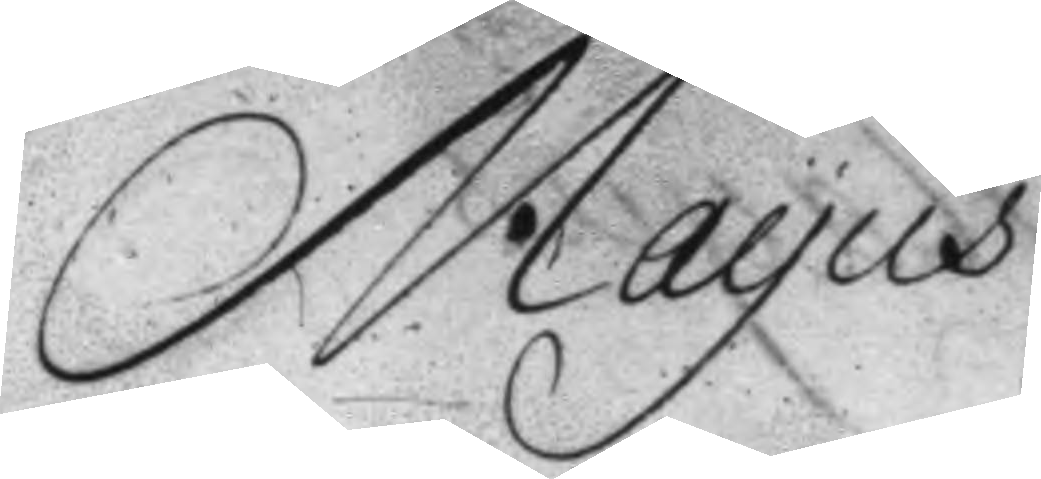Mayus
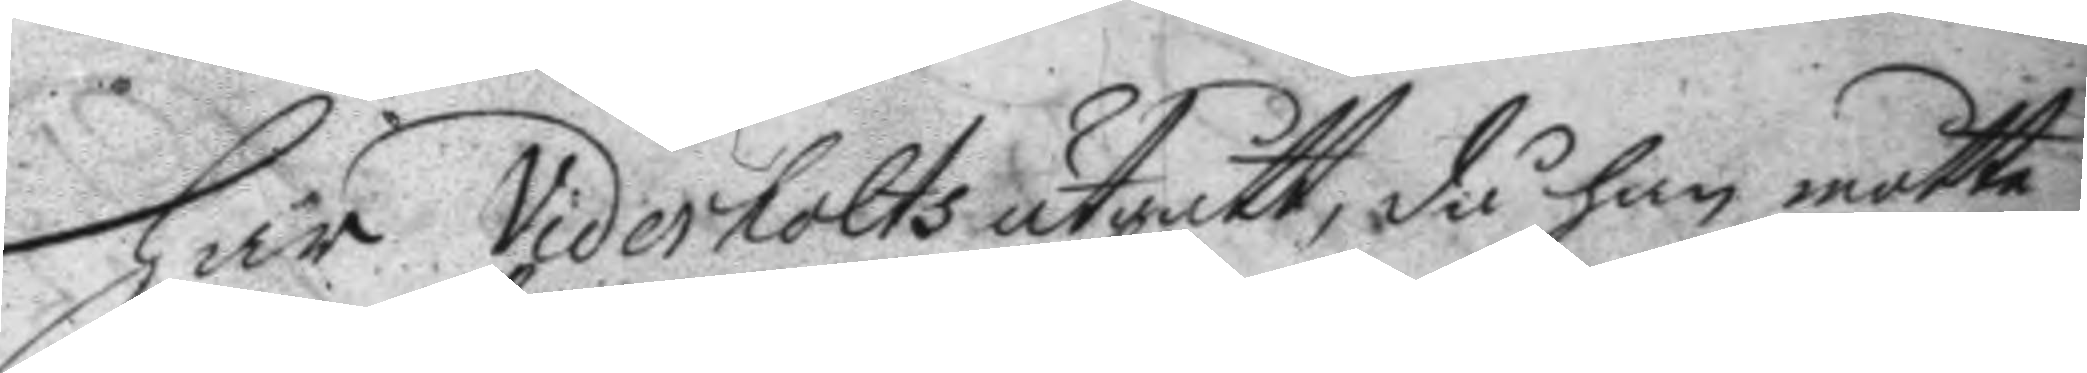har Viderholts utgått, då han mötte
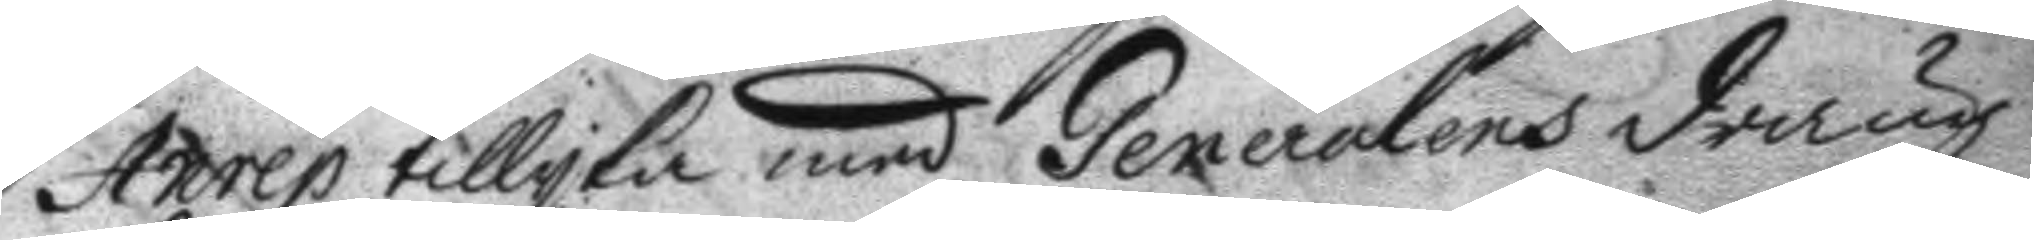Anrep tillyka med Generalens dräng
